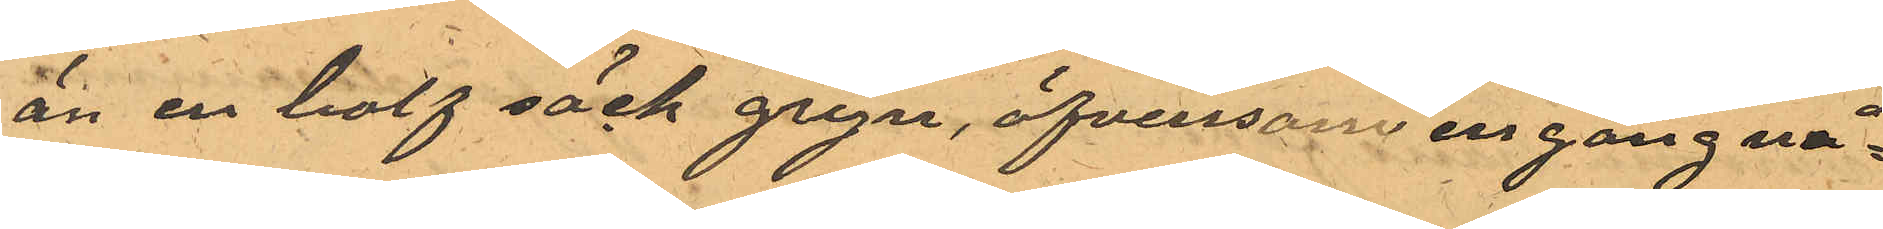än en half säck gryn, äfvensom en gång nå¬
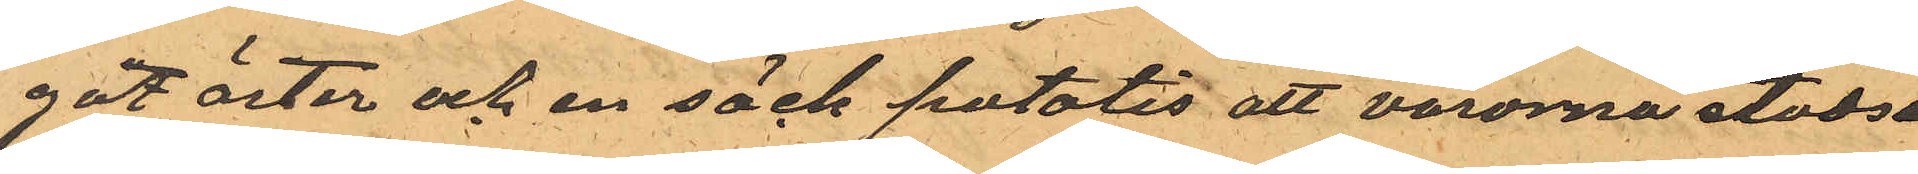got ärter och en säck potatis att varorna stadse
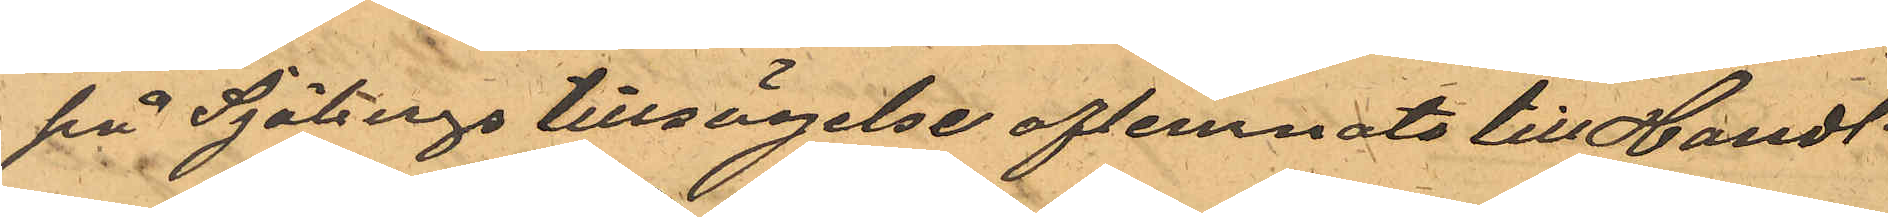på Sjöbergs tillsägelse aflemnats till Handl.
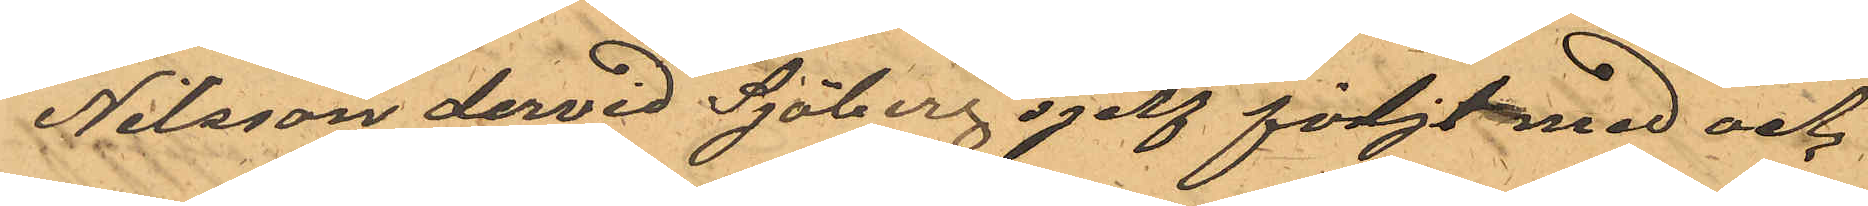Nilsson dervid Sjöberg sjelf följt med och
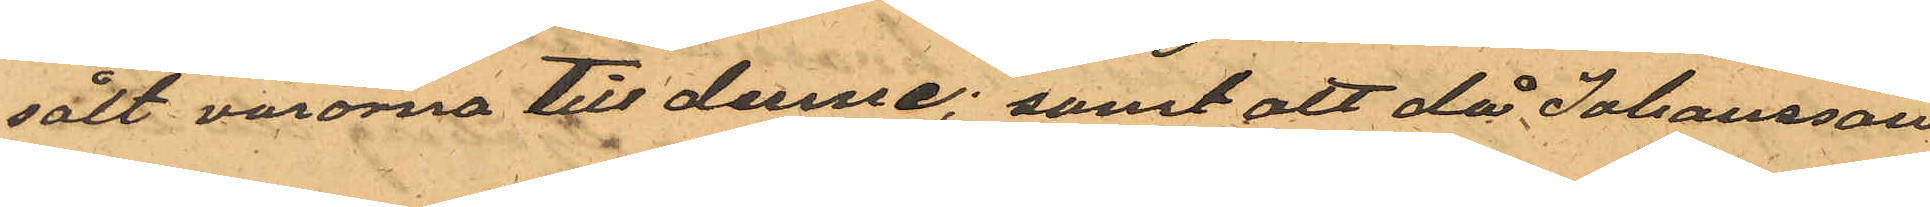sålt varorna till denne; samt att då Johansson
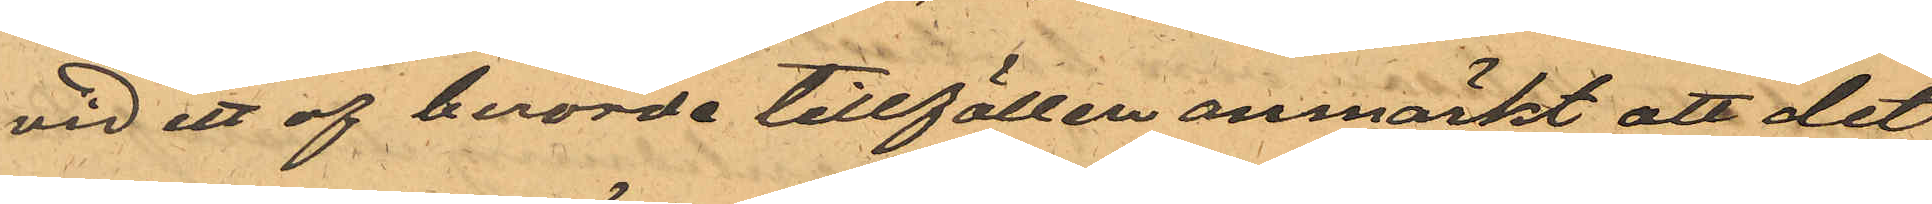vid ett af berorde tillfällen anmärkt att det
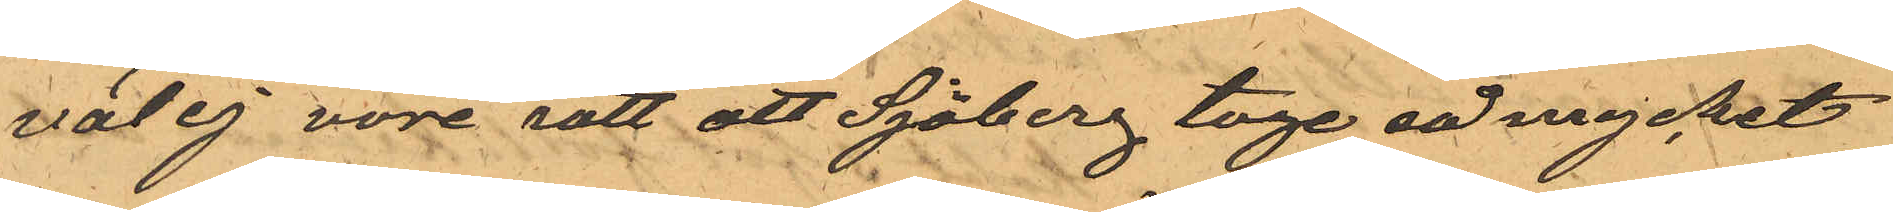väl ej vore rätt att Sjöberg toge så mycket
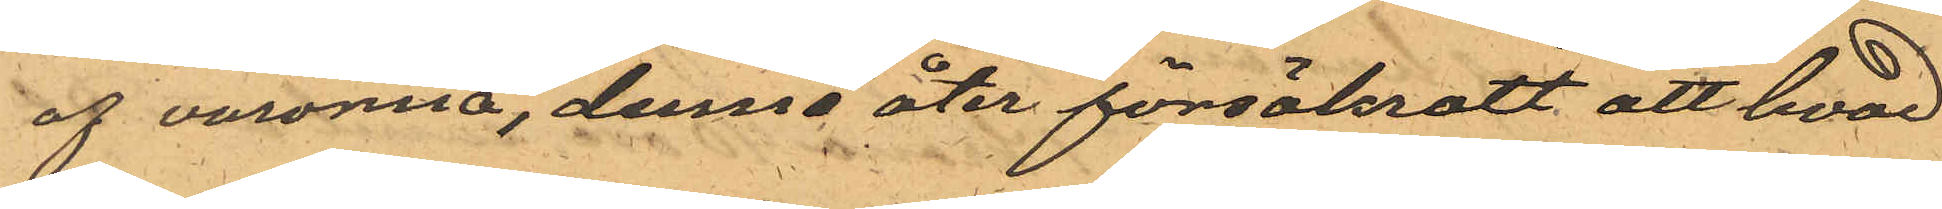af varorna, denne åter försäkratt att hvad
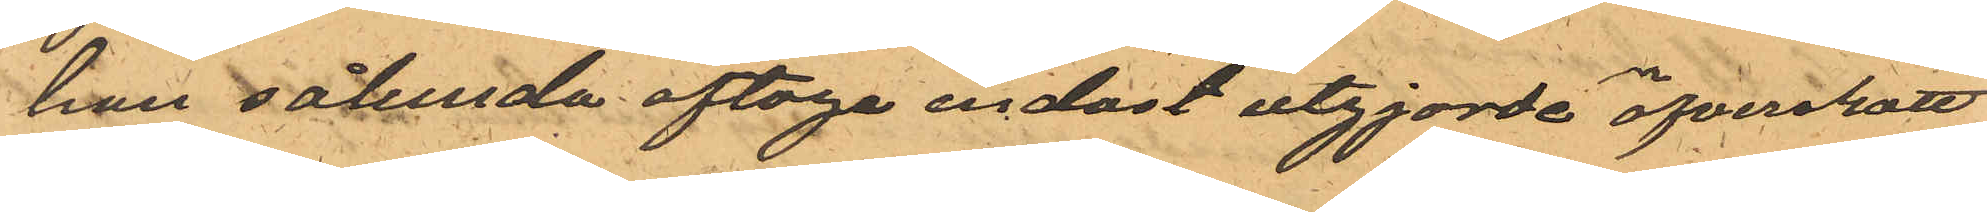han sålunda aftoge endast utgjorde öfverskott
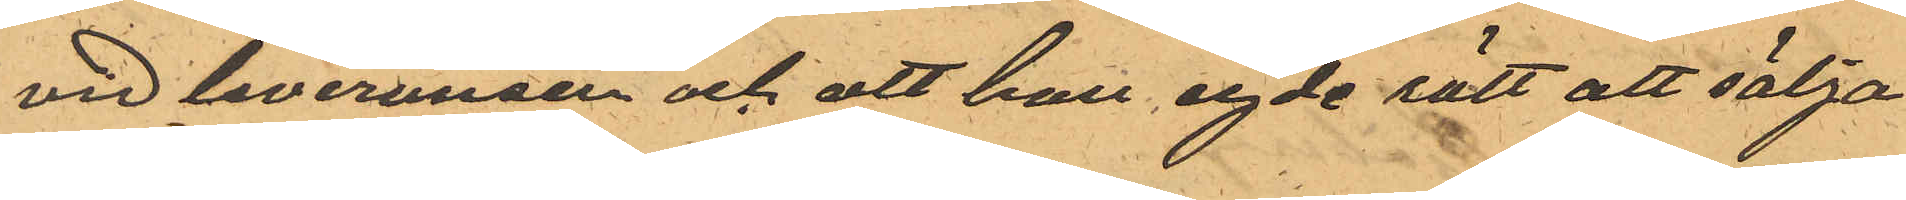vid leverunden och att han egde rätt att sälja
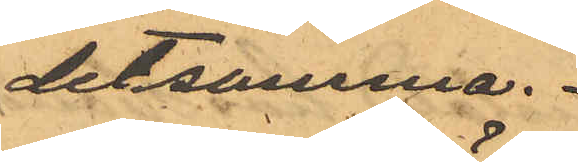detsamma.
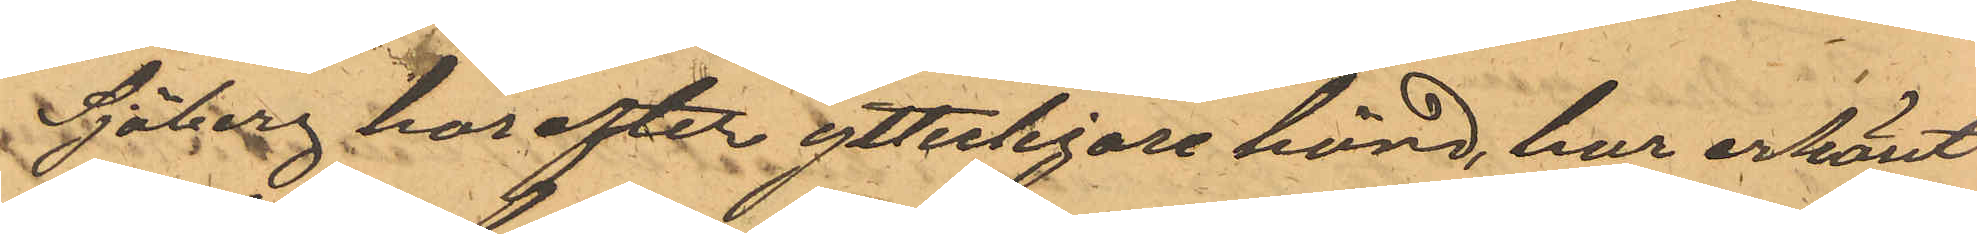Sjöberg härefter ytterligare hörd, har erkänt
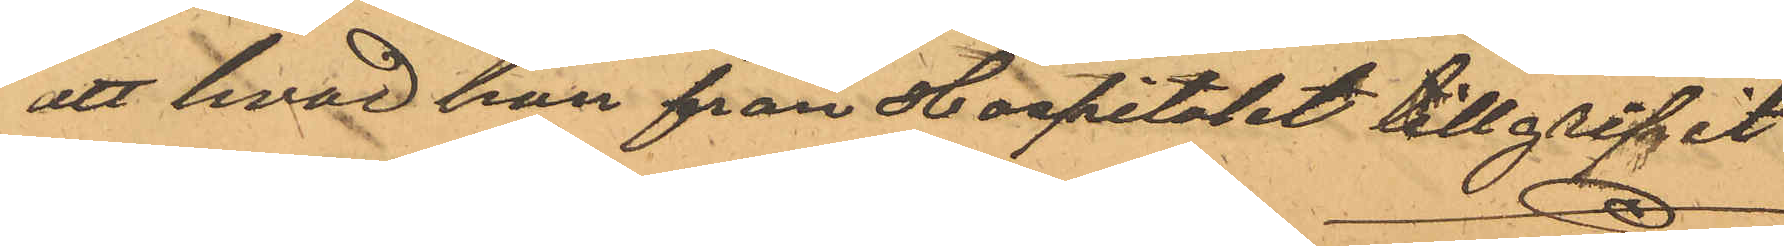att hvad han från Hospitalet tillgripit
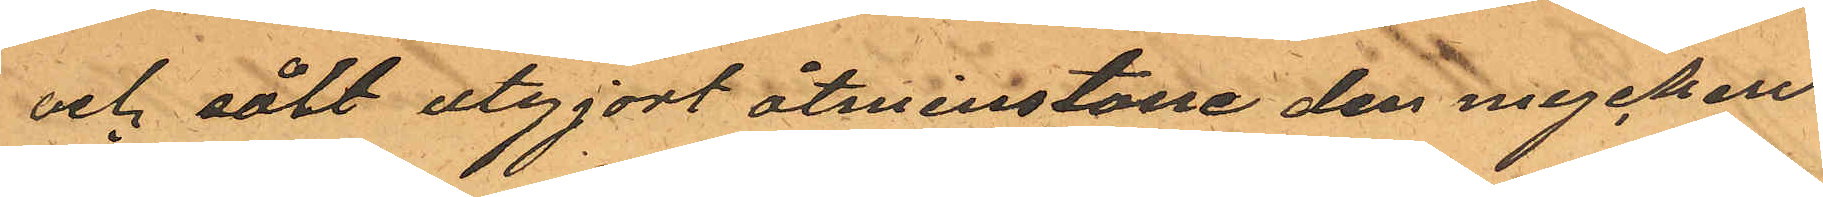och sålt utgjort åtminstone den mycken¬
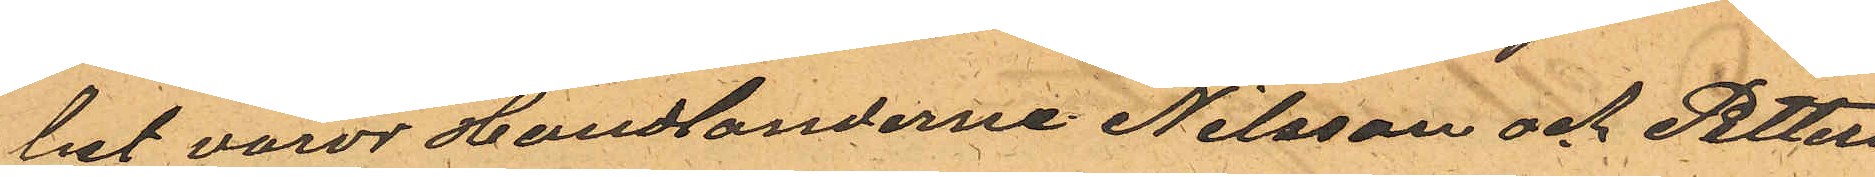het varor Handlanderne Nilsson och Petters¬
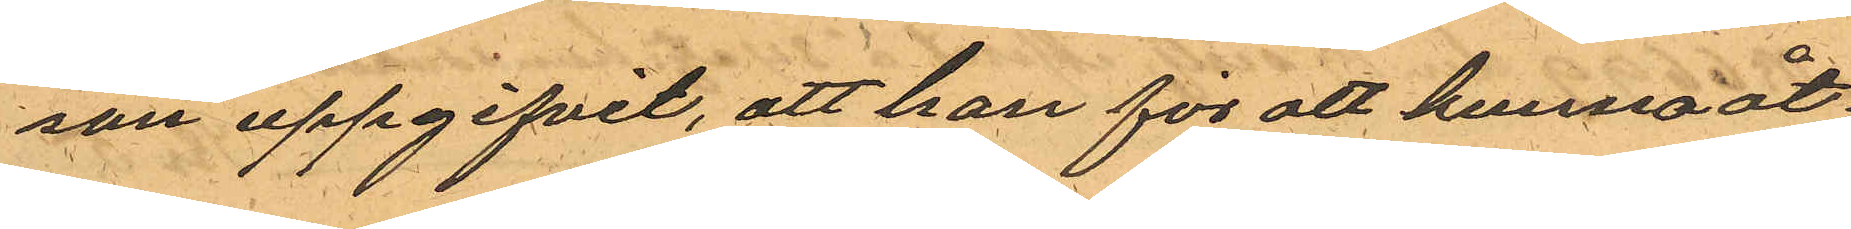son uppgifvit, att han för att kunna åt¬
